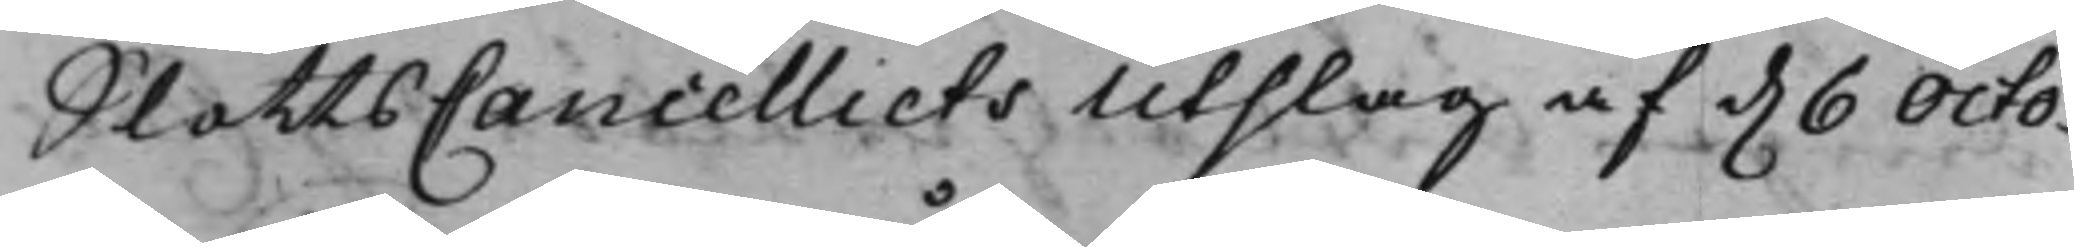SlottsCancelliets Utslag af d. 6 Octo¬
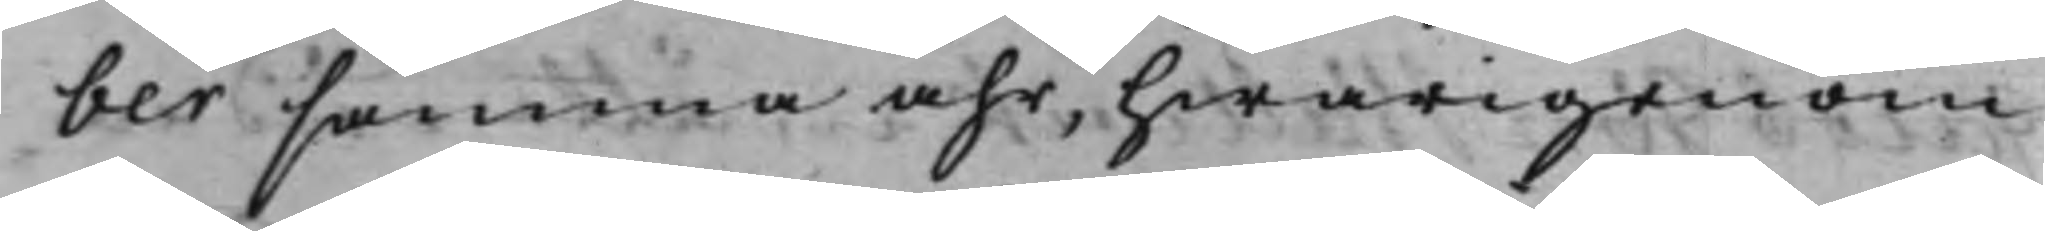ber samma åhr, hwarigenom
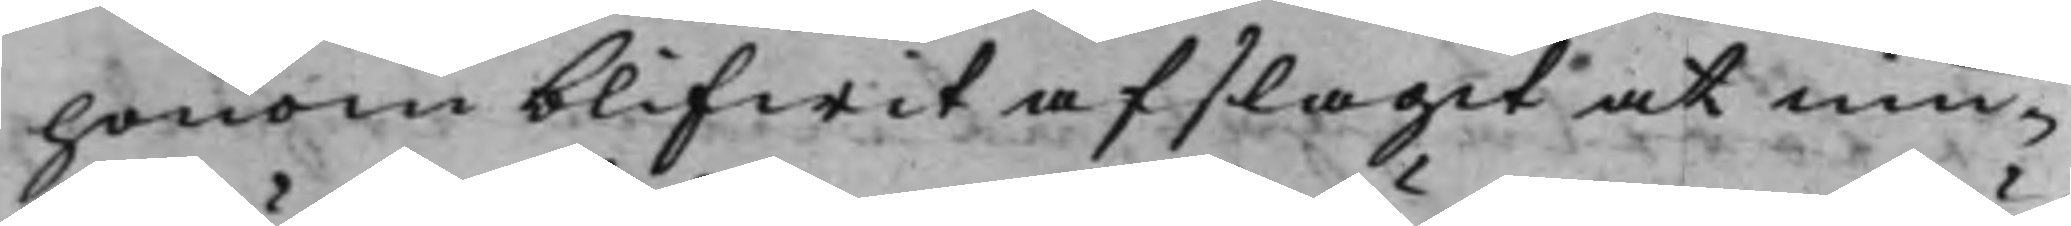honom blifwit afslagit at niu¬
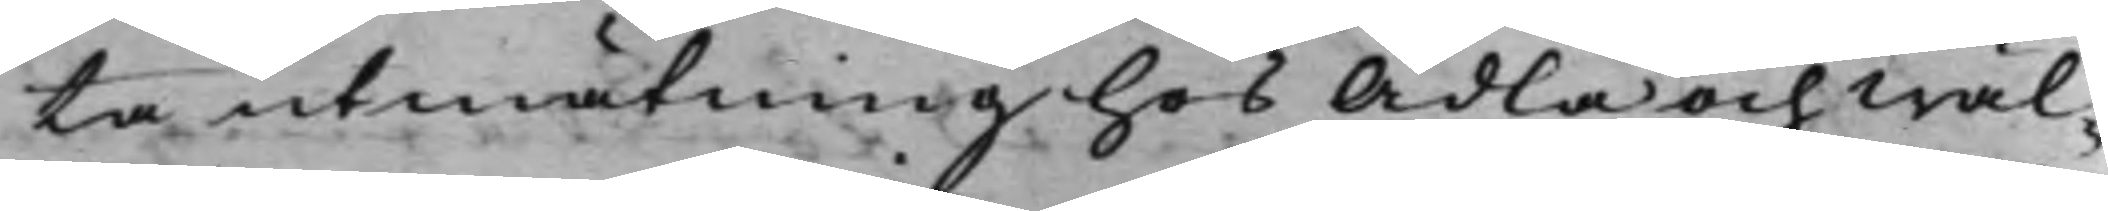ta utmätning hos Ädla och Wäl¬
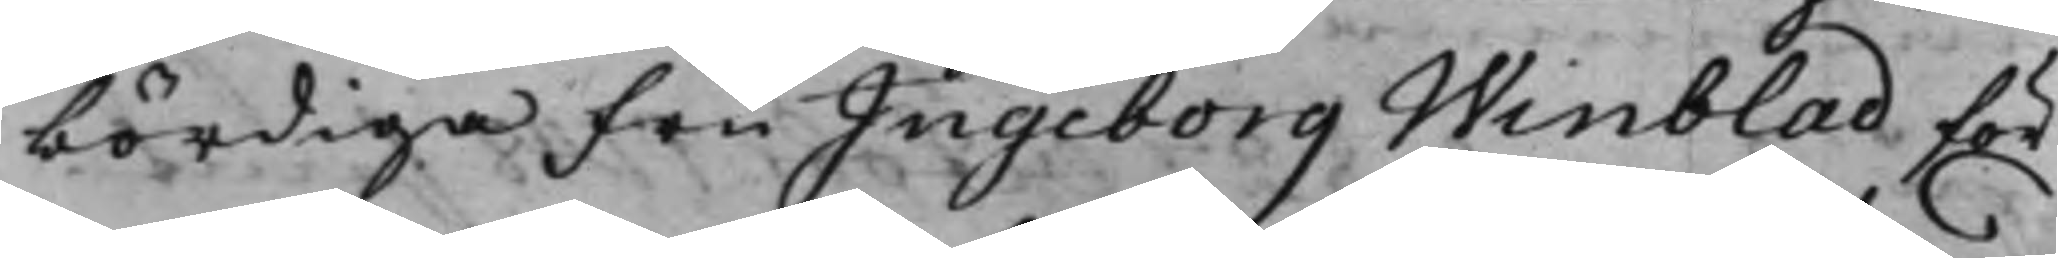bördiga Fru Ingeborg Winblad för
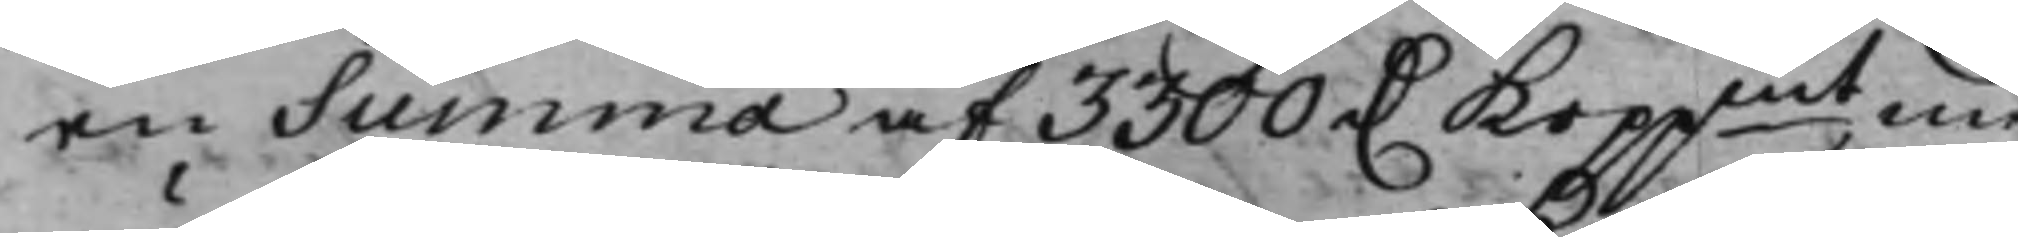en Summa af 3300 D. Koppmt, med
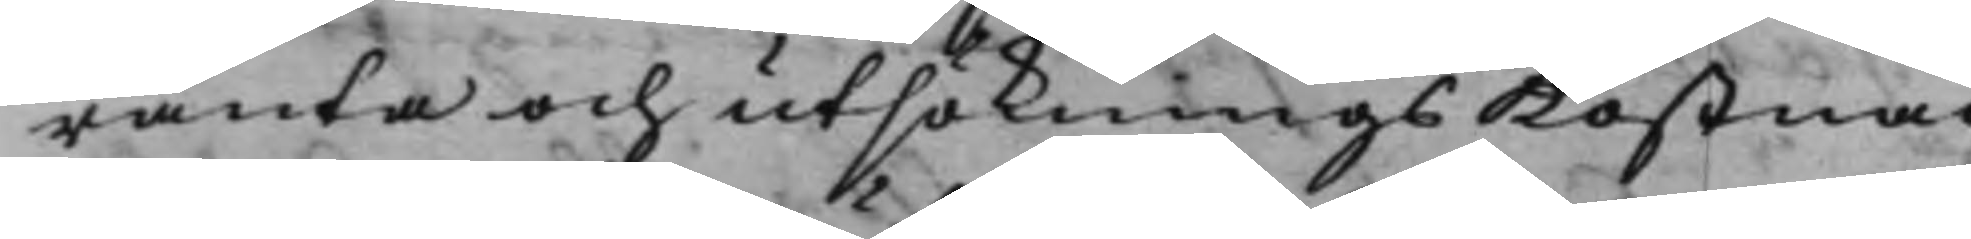ränta och utsöknings Kostna
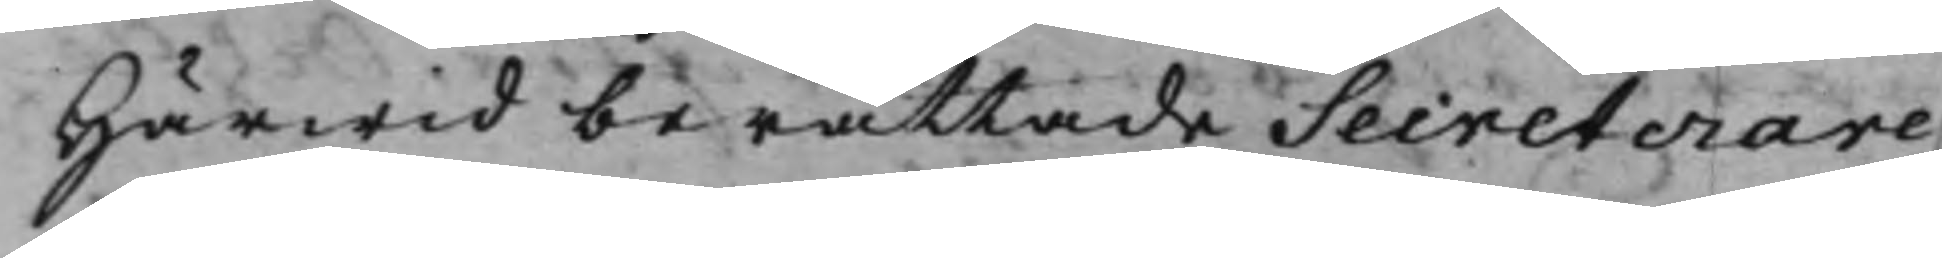Härwid berättade Secreterare
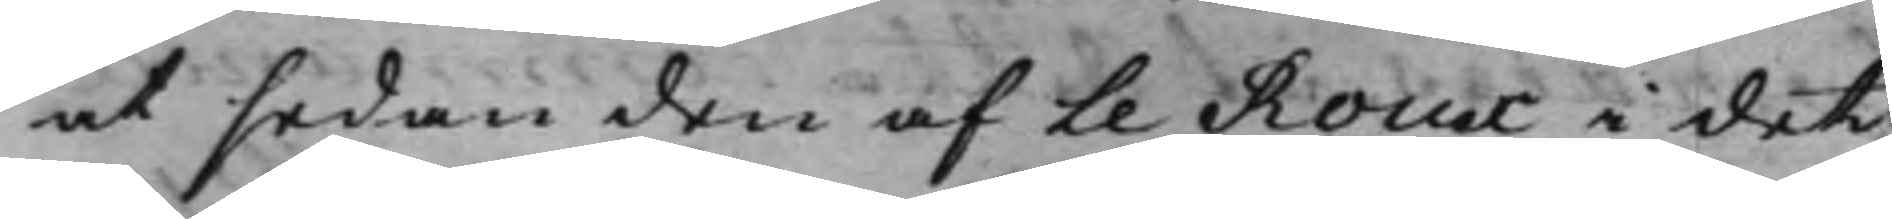at sedan den af Le Roux i det
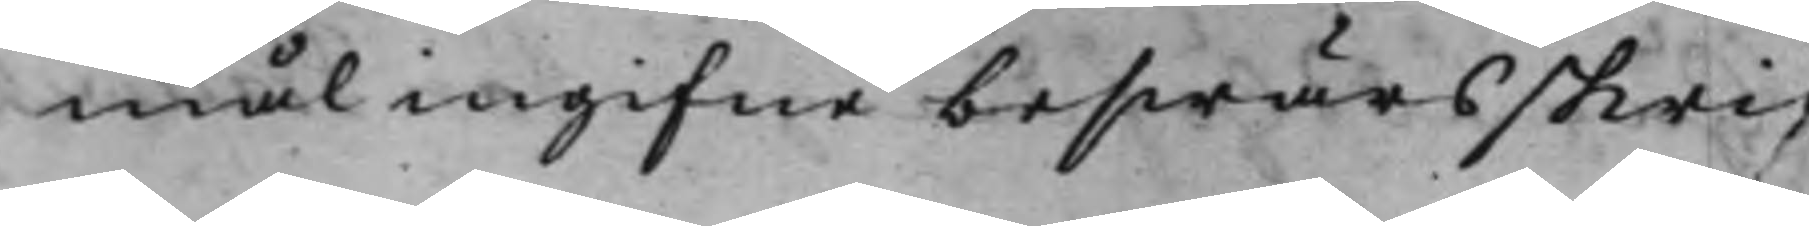mål ingifne beswärsskrif
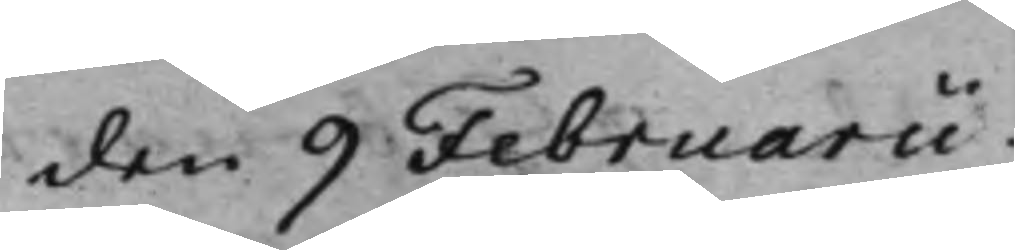den 9 Februarii.
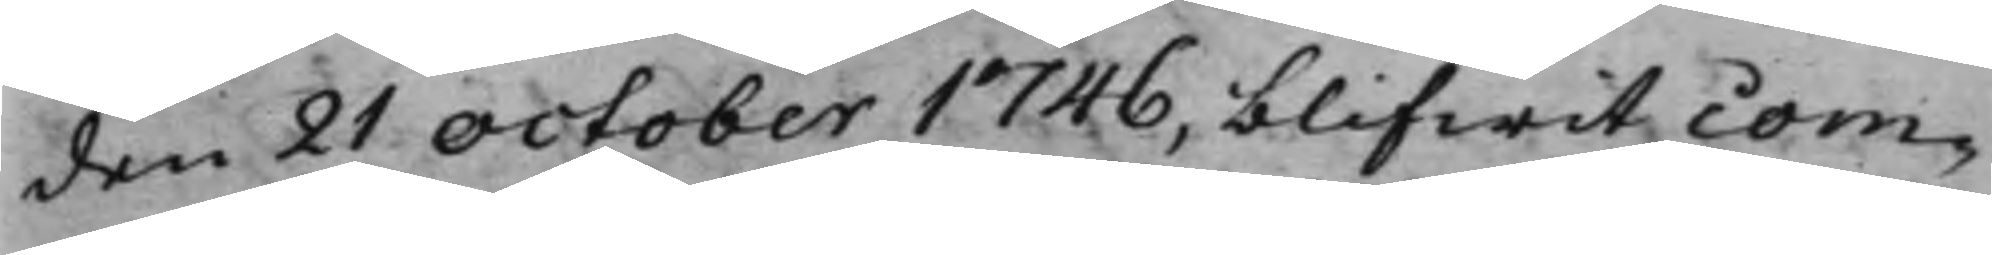den 21 October 1746, blifwit com¬
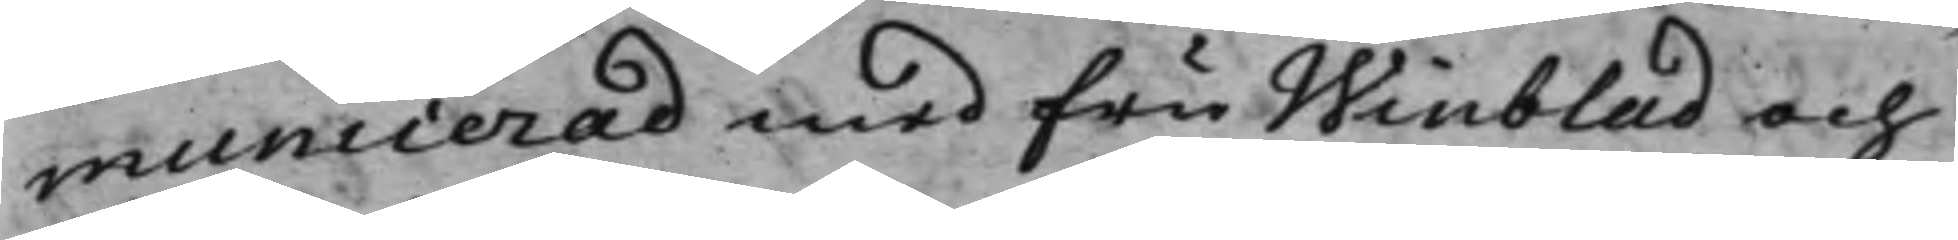municerad med fru Winblad och
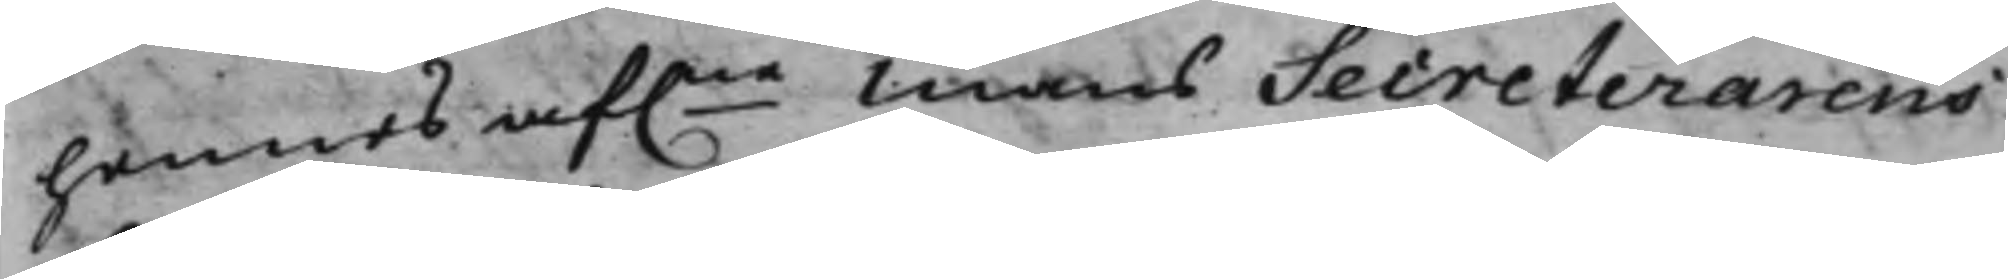hennes af.ne mans Secreterarens
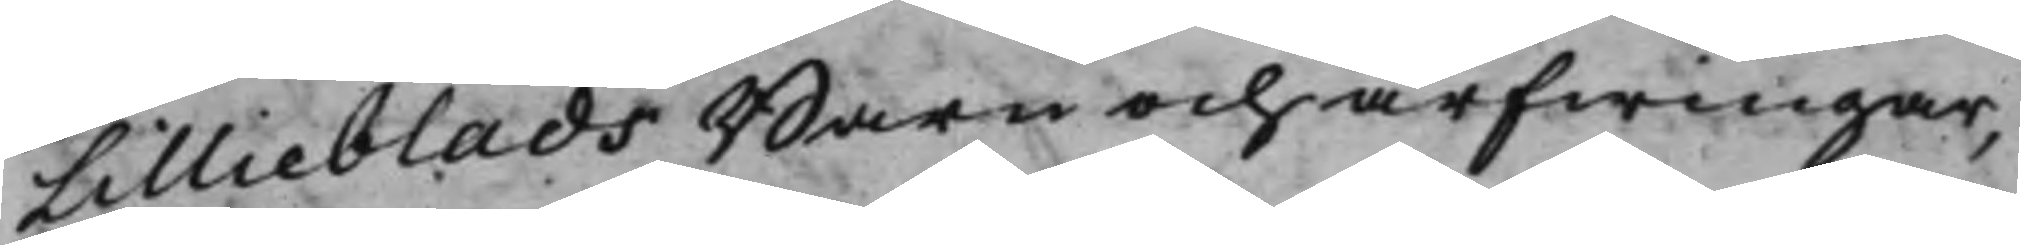Lillieblads Barn och arfwingar,
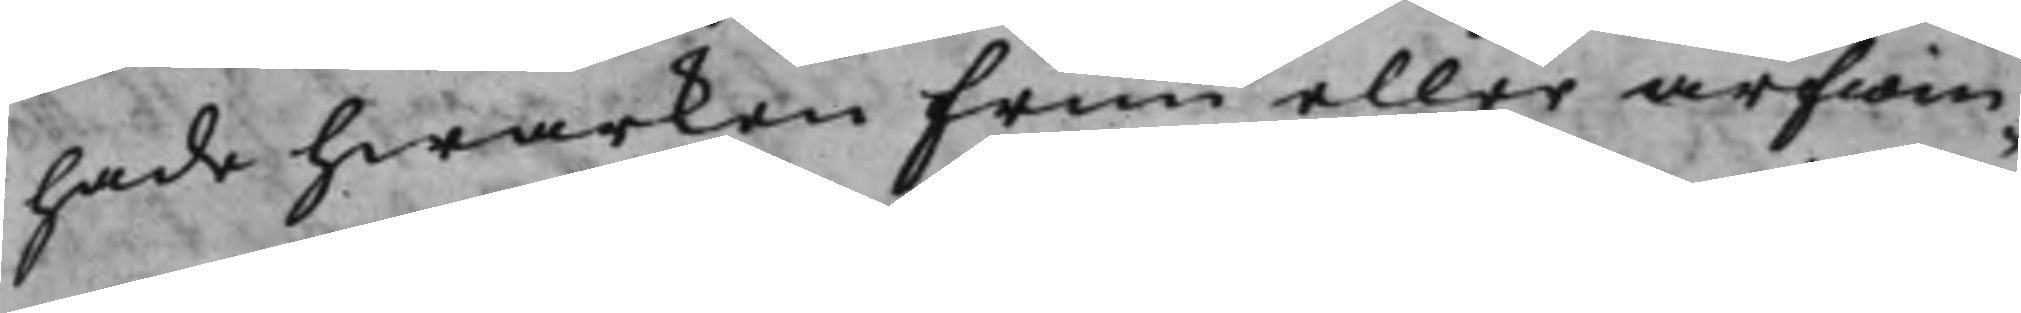hade hwarken Frun eller arfwin¬
